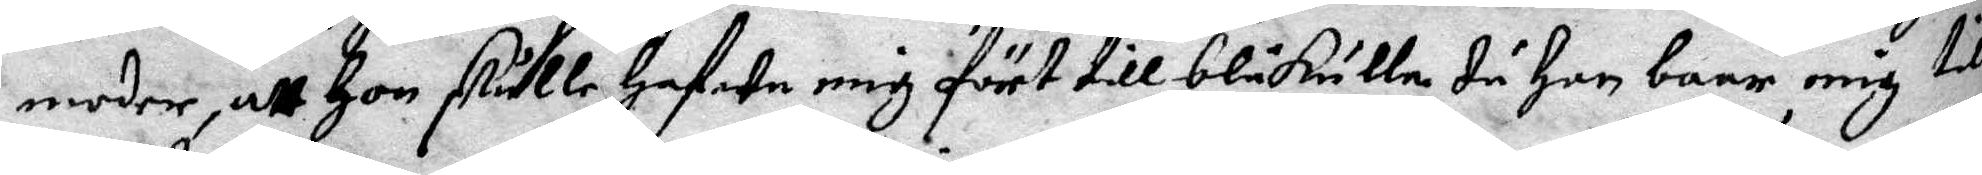moder, att Hon skulle hafwa mig fört till blåkulla då Hon baar mig till
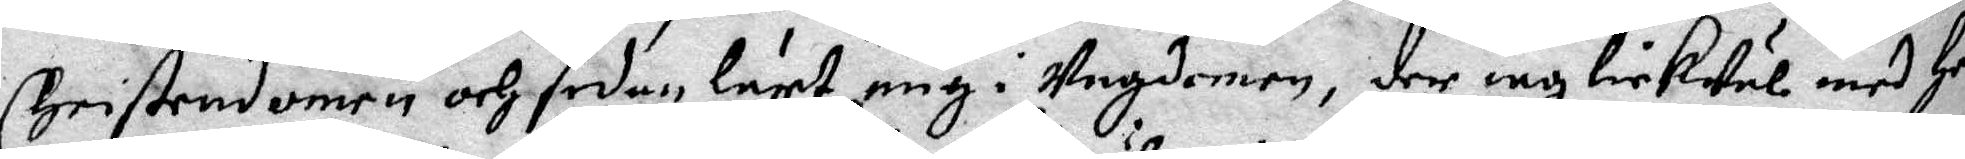Cristendomen och sedan lärt mig i Ungdomen, der iag lickwäl med henne
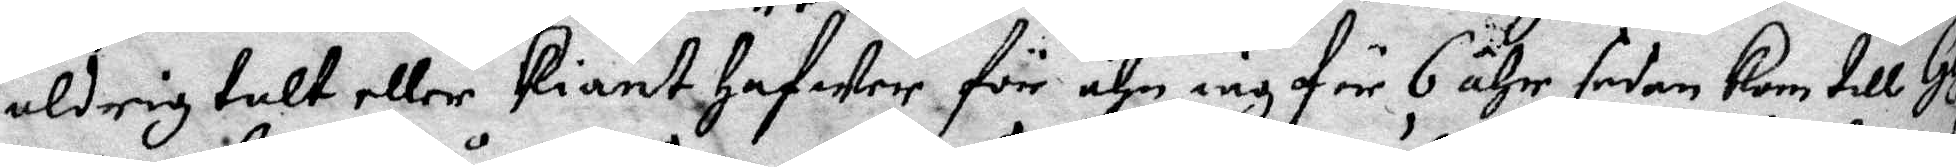aldrig talt eller kiänt hafwer för ähn iag för 6 åhr sedan Kom till Gefle
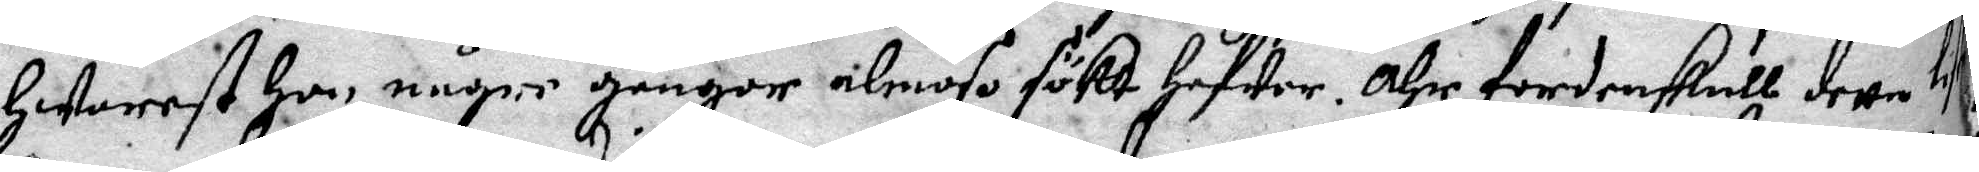hwarest hon, någre gångor almoso sökt hafwer. Ähr fördenskull detta lö¬
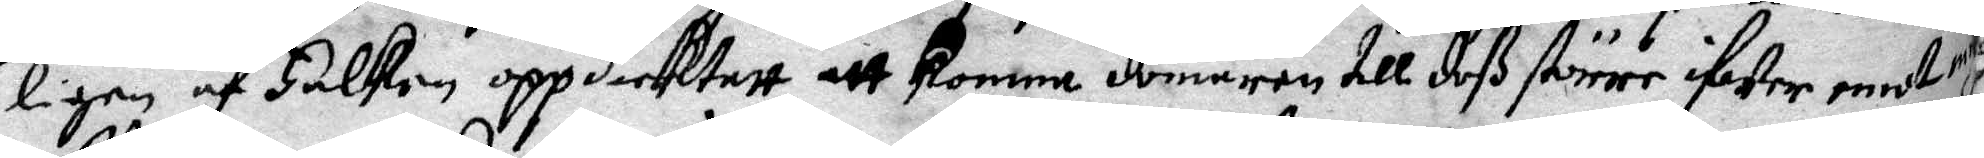ligen af Falken oppdicktatt att komma domaren till deß större ifweremot mig.
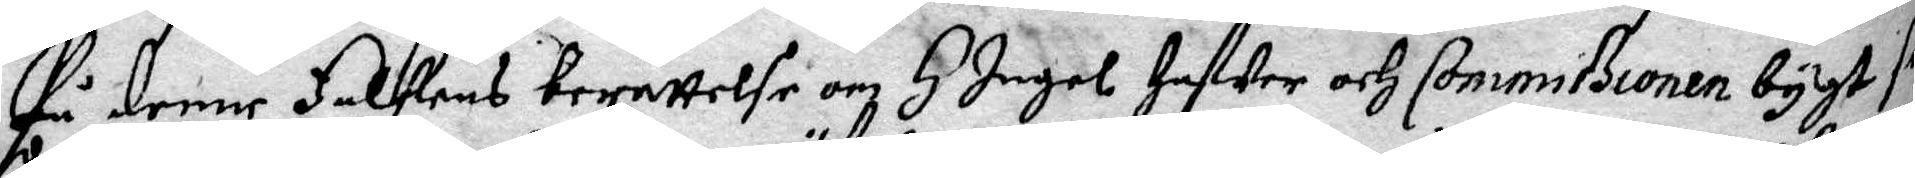På denne Falkens berättelse omh H Ingel hafwer och Commißsionen bygt sitt
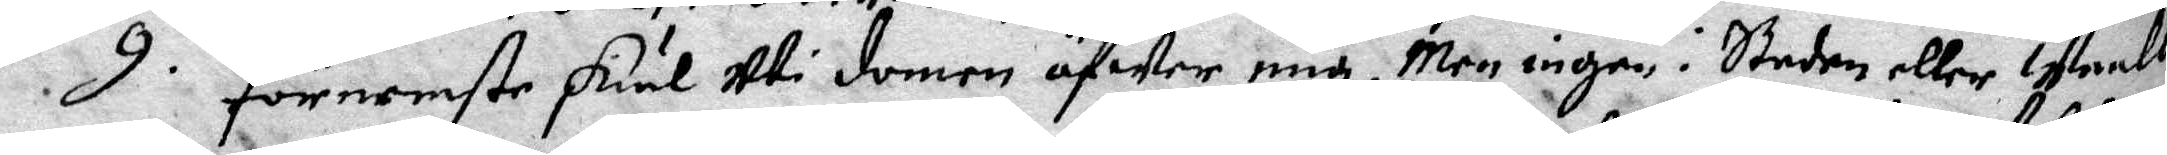9. förnemste skiäl uti domen öfwer mig. Men ingen i Staden eller Waalbo
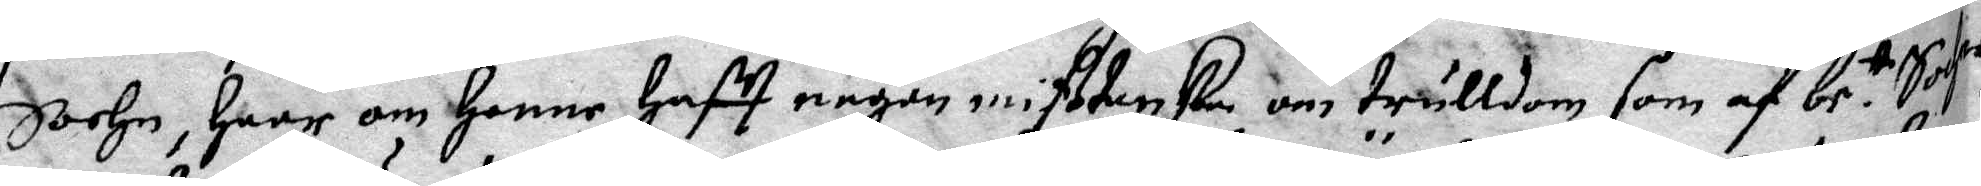Sochn, haar om henne hafft någon mißtanka om trulldom som af be.te Sochns
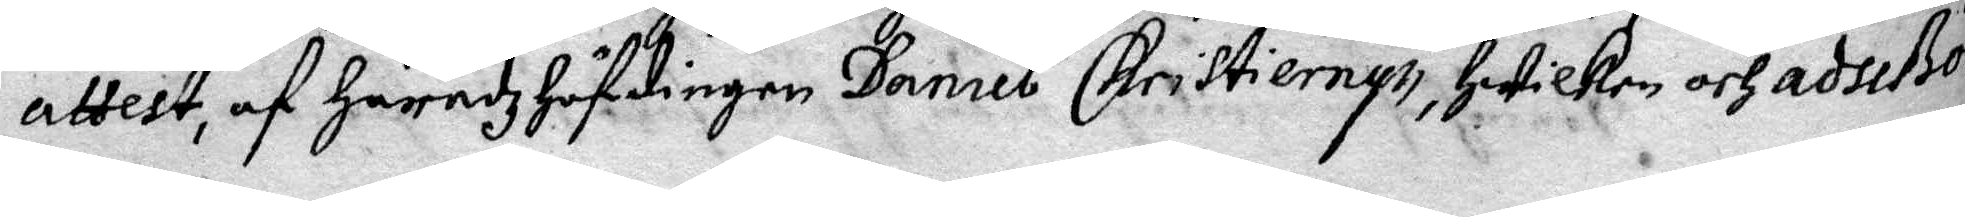attest, af Häradz höfdingen Daniel Christiernys, hwilken och adseßor
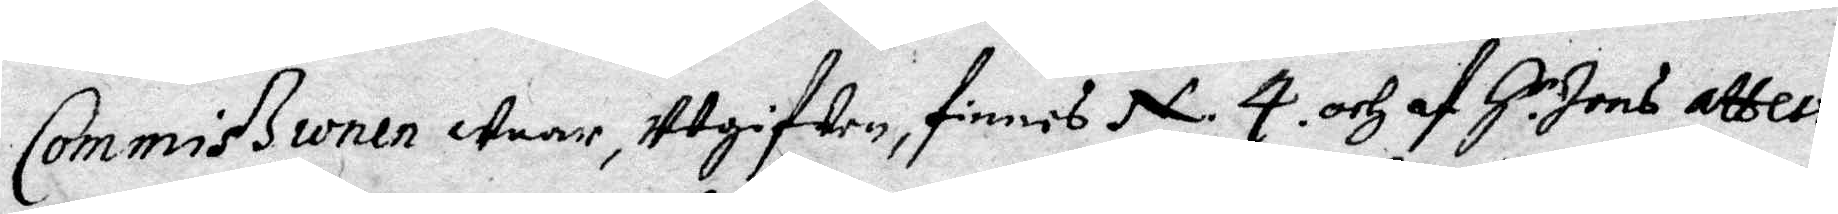Commißionen Waar, Utgifwen, finnes N. 4. och af H.r Jons attest
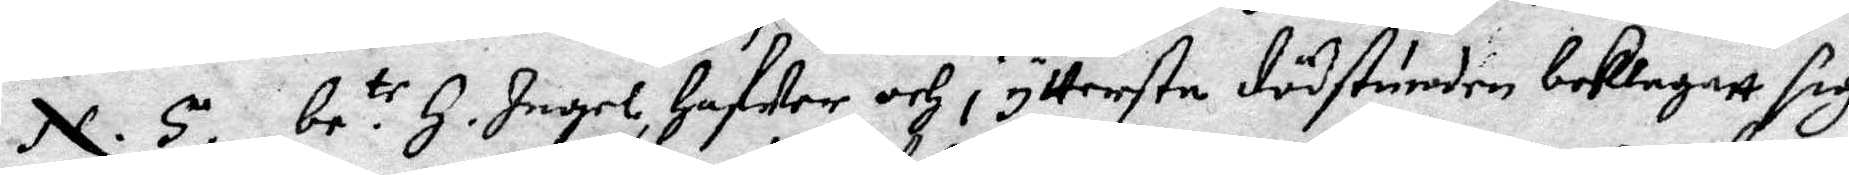N. 5. be:te H. Ingel, hafwer och i yttersta dödstunden beklagatt sig
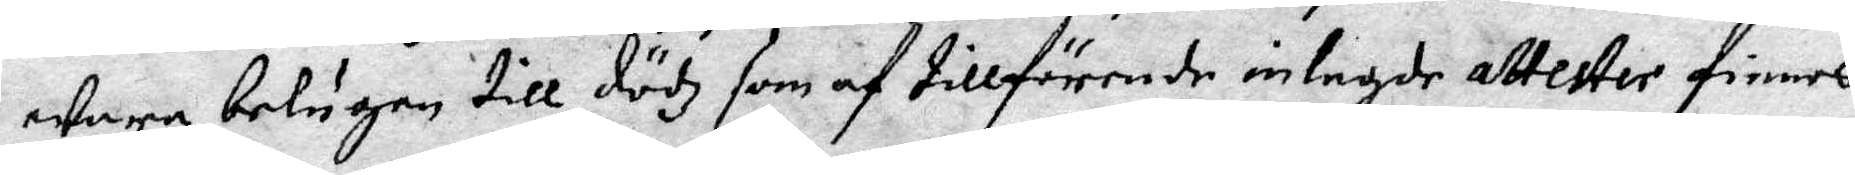wara belugen till dödz som af tillförende inlagde attester finnes.
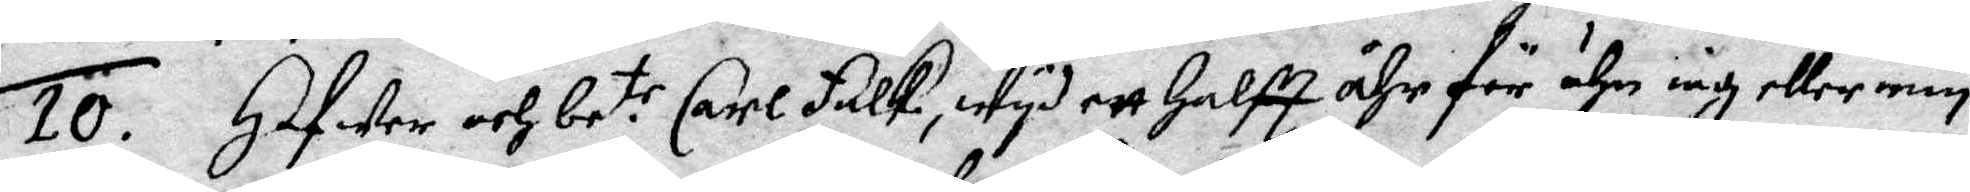10. Hafwer och be:te Carl Falk, wyd ett halft åhr för ähn iag eller min
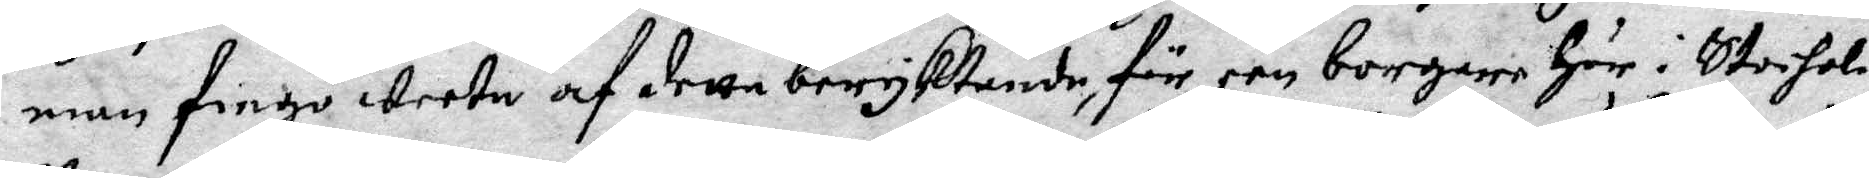man fingo weeta af detta beryktande, för een borgare Här i Stocholm
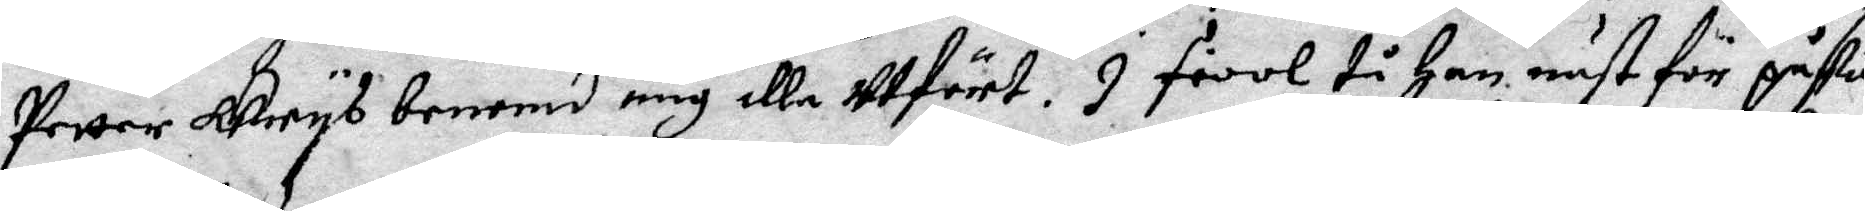Petter Grys benemd mig illa Utfört. I fiool tå Han näst för påska
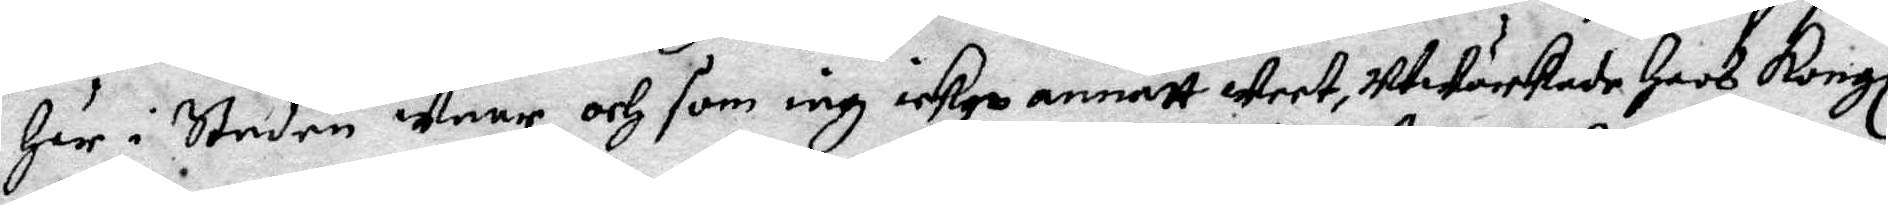Här i Staden waar, och som iag icke annatt weet, utwärkade hoos Kongl
